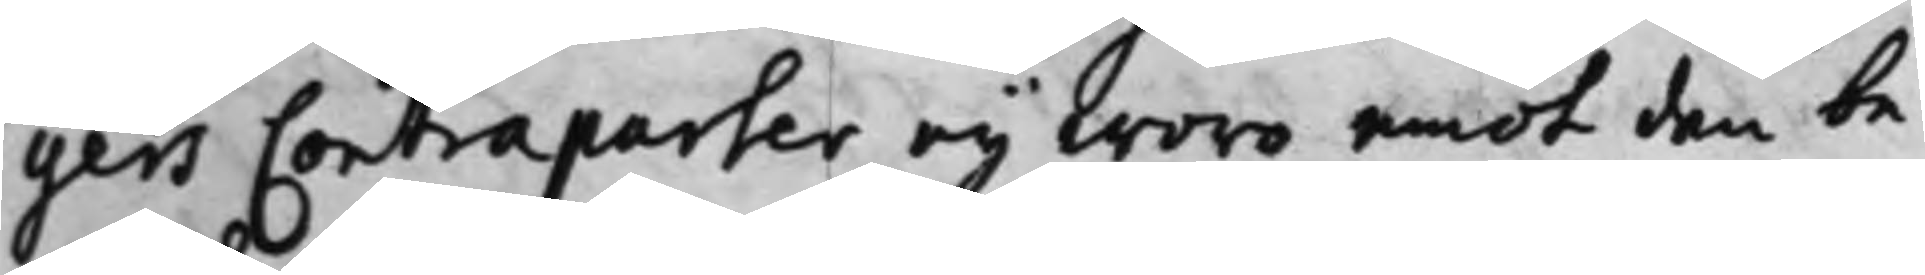gers Contraparter ey woro emot den be¬
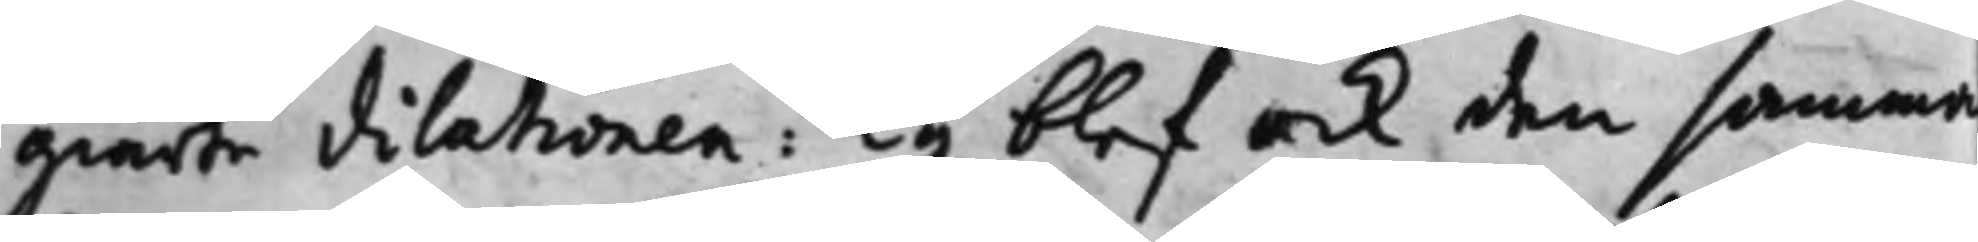giärde dilationen: Ty blef och den samma
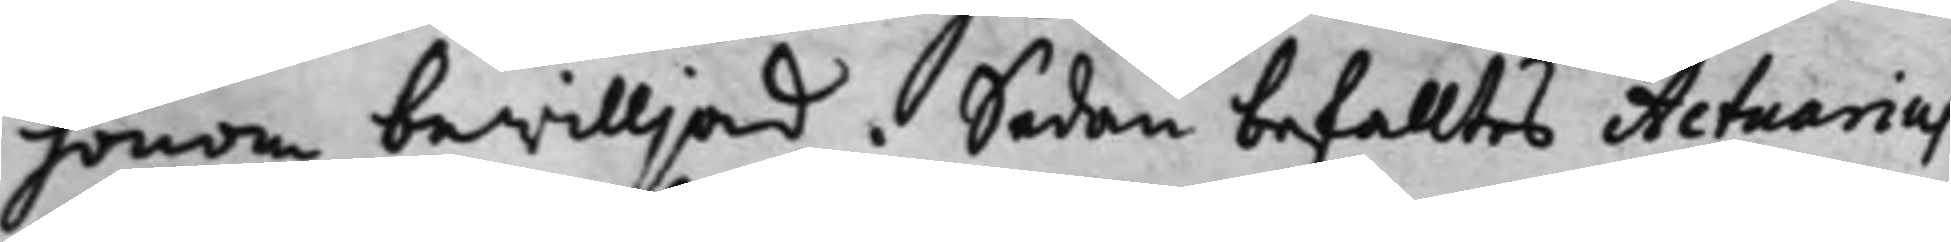honom bewilljad. Sedan befalltes Actuarius
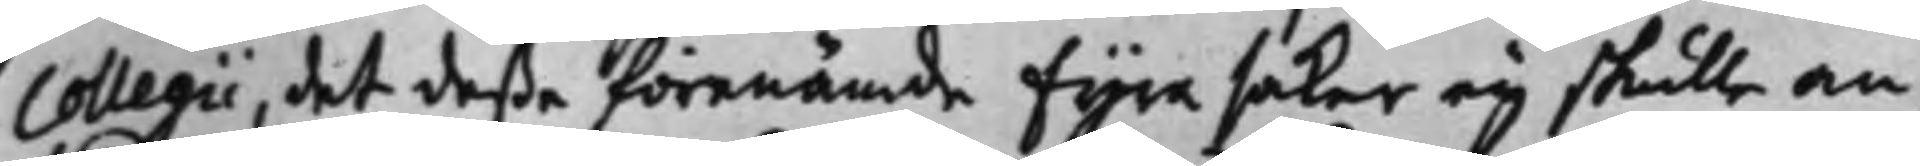Collegii, det deßa förenämde fyra saker ey skulle an¬
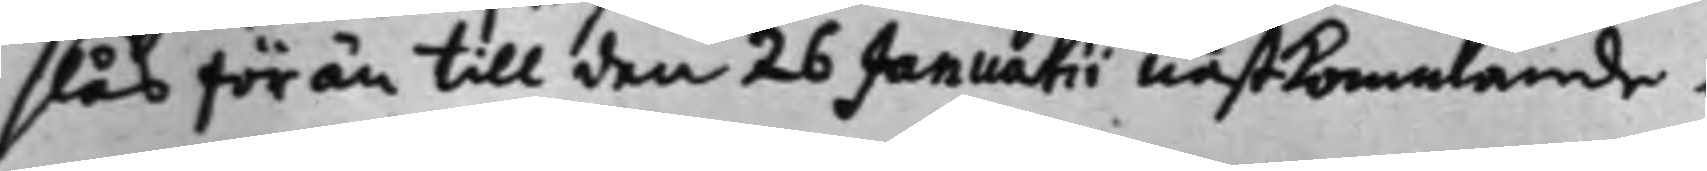slås förän till den 27 Januarii nestkommande.
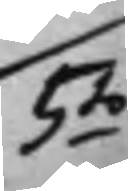5.to
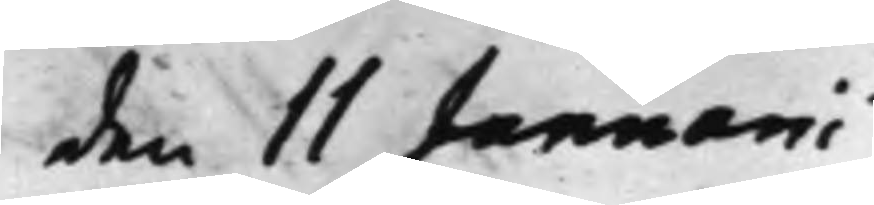den 11 Januarii
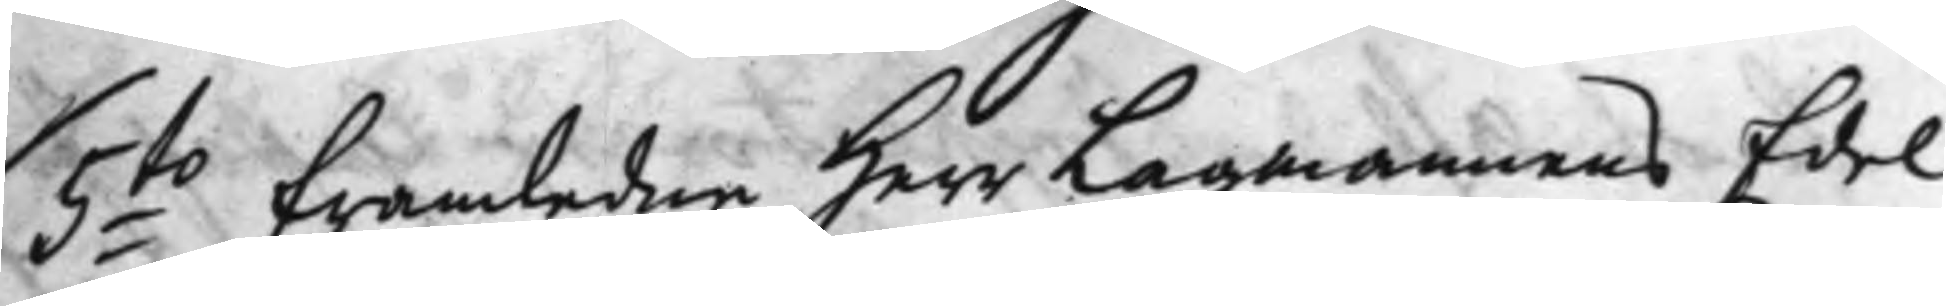5:to Framledne Herr Labmannens Edel
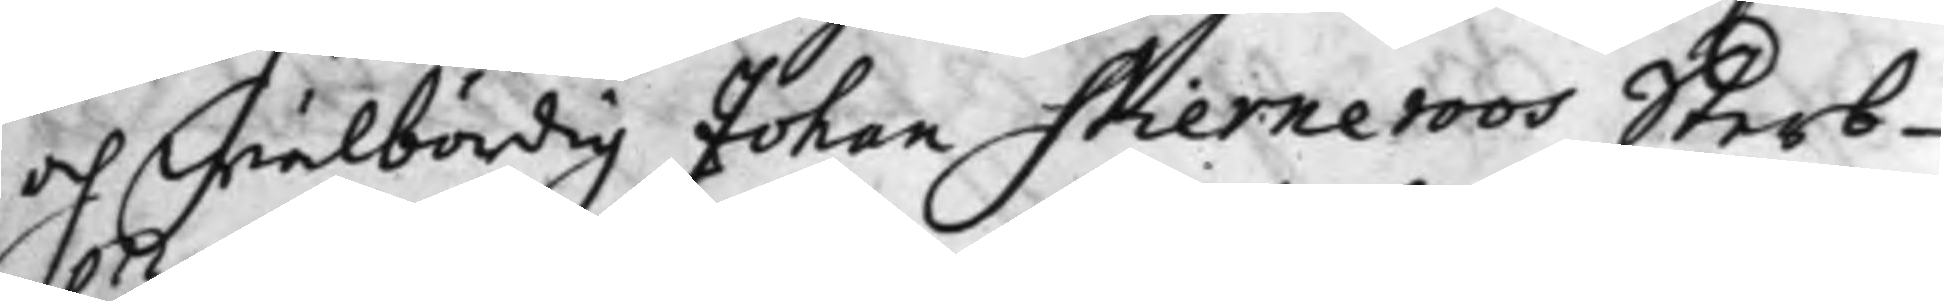och wälbördig Johan Stierneroos Sterb¬
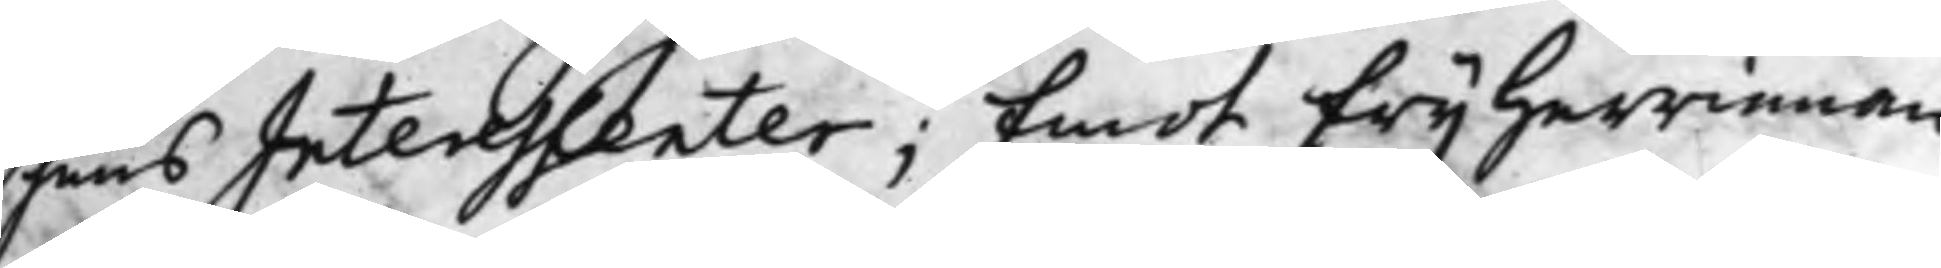huus Interessenter; Emot Frijherrinnan
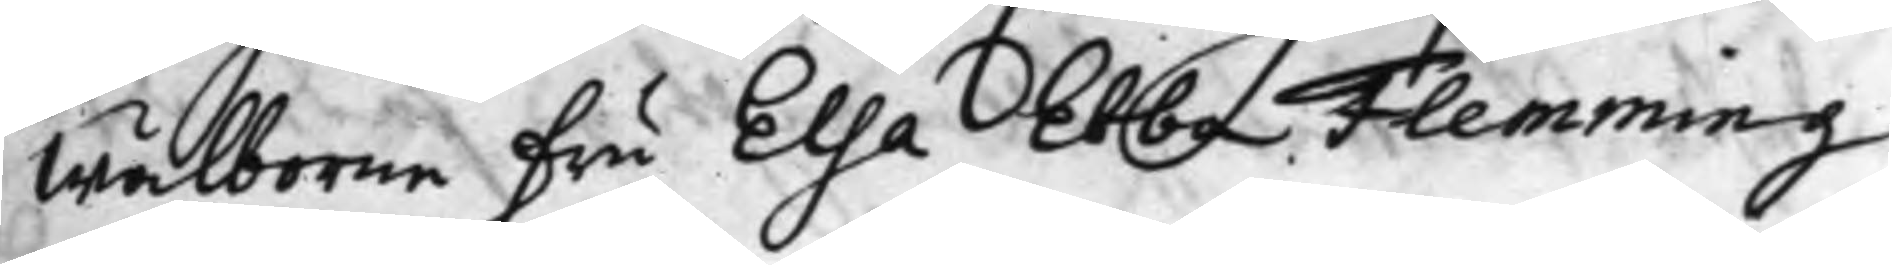Wälborne Fru Elsa Ebba Flemming,
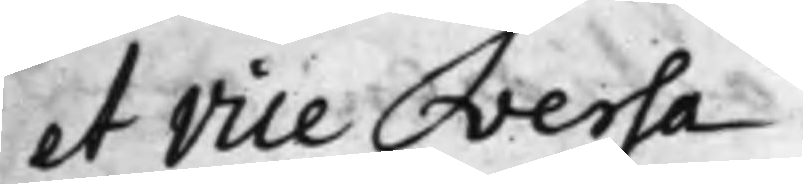et Vice versa.
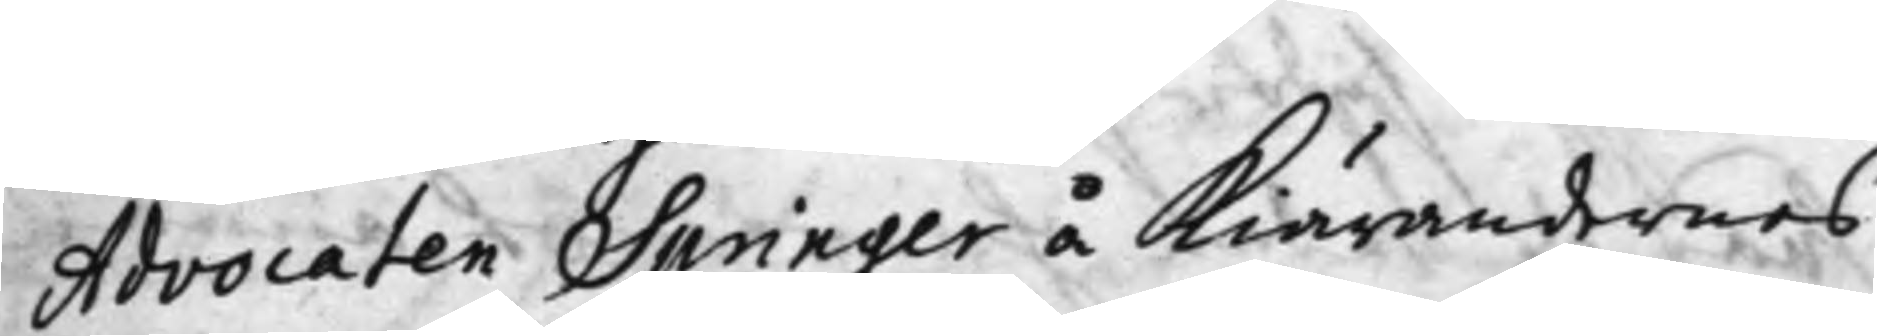Advocaten Springer å Kiärandernes
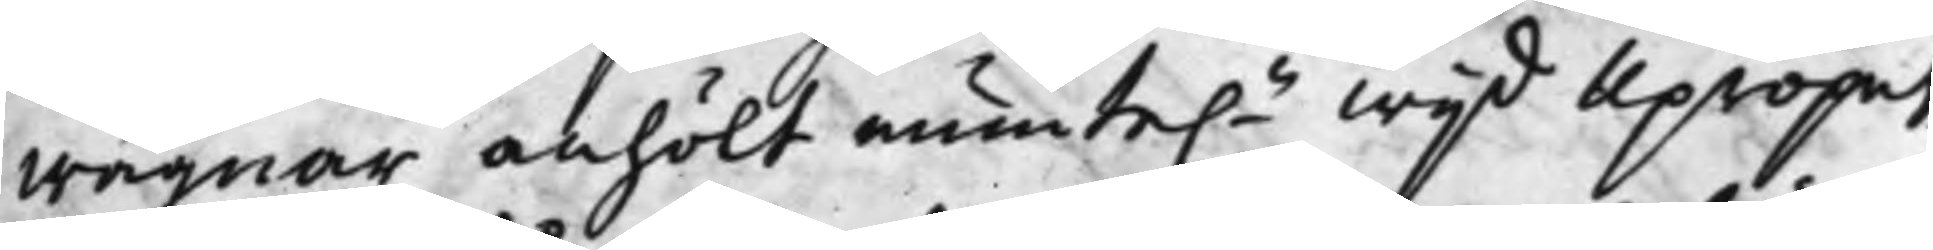wägnar anhölt munte.n wijd Upropet
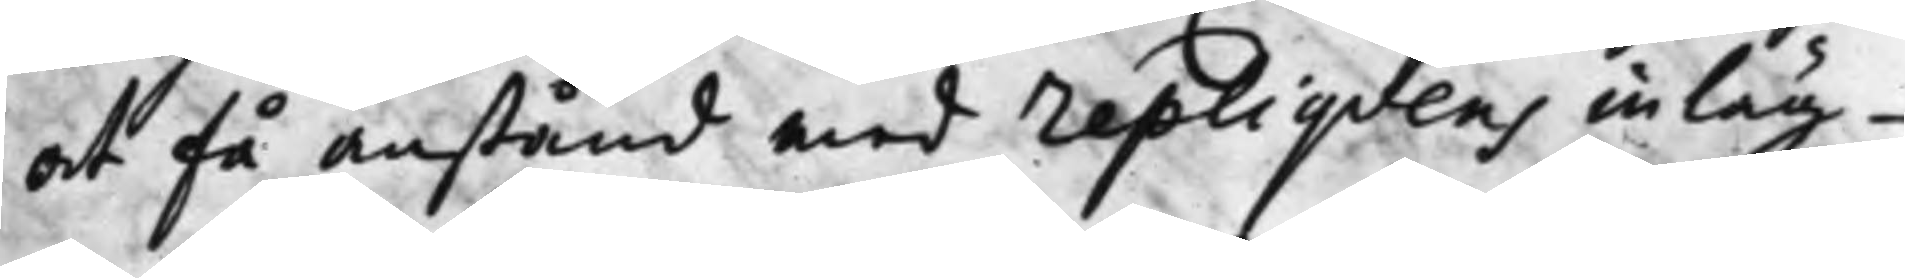at få anstånd med repliqvens inläg¬
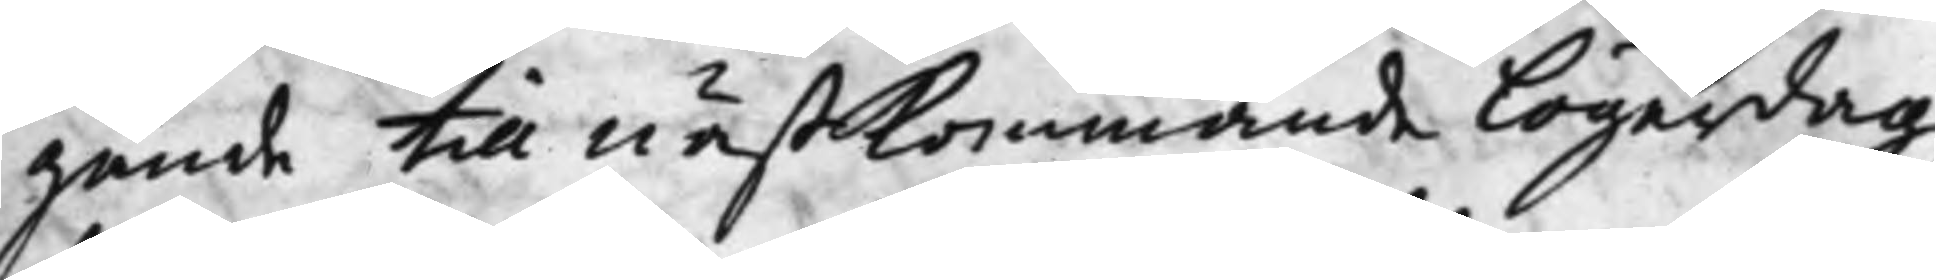gande till nästkommande Lögerdag,
